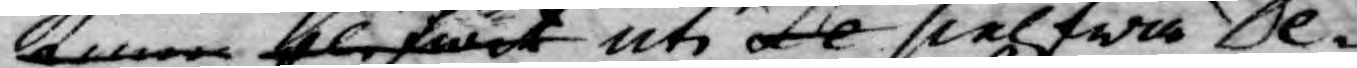kunna blifwit uti De sielfwa De¬
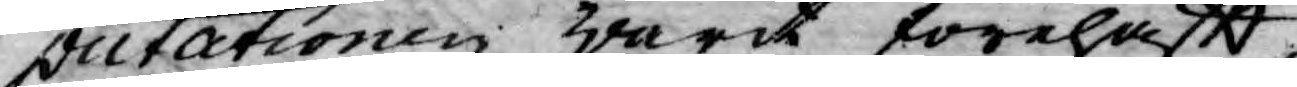putationen warit förehafft,
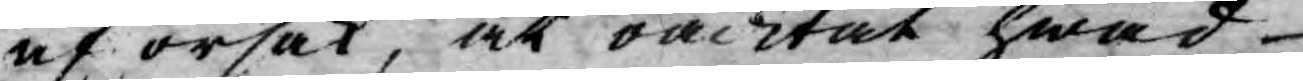af orsak, at oacktat hwad
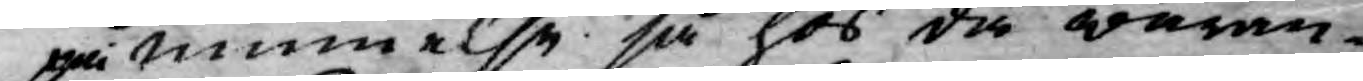påminnelse så hos då waran¬
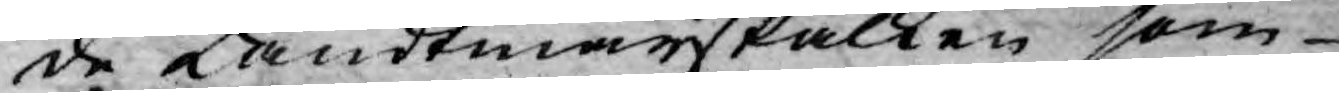de Landtmarskalken som
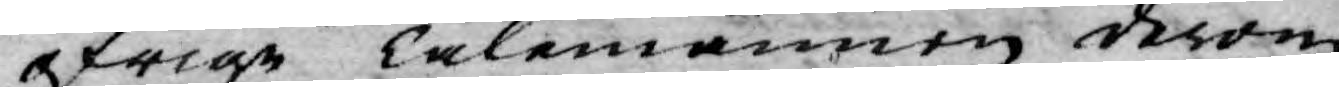öfrige Talemännen derom
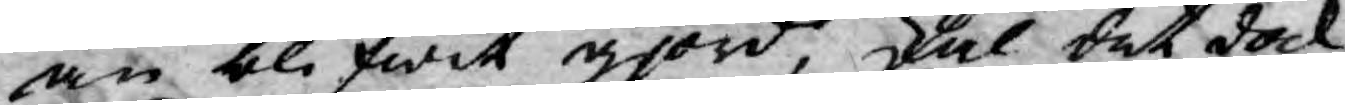än blifwit gjord, skal det dock
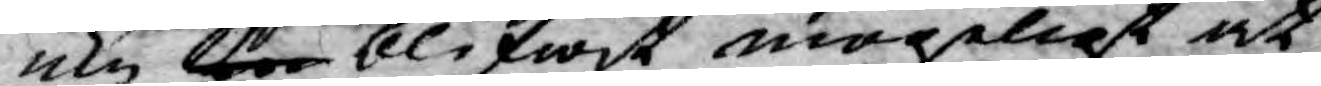icke ka blifwit mögeligt at
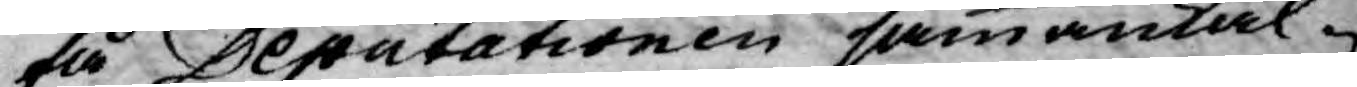få Deputationen sammankal¬
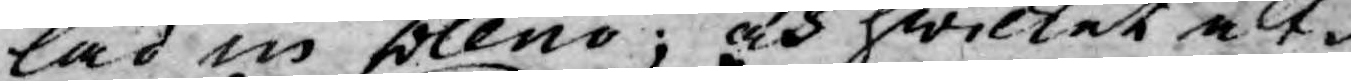lad in pleno; och hwilket alt¬
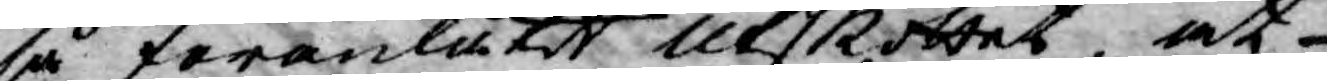så föranlåtit Utskottet, at
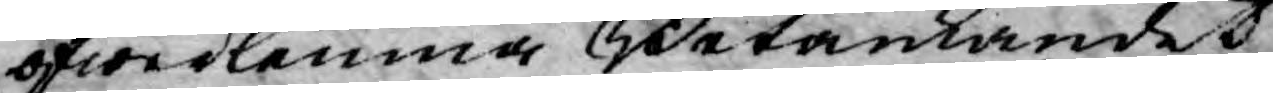öfwerlemna Betänkandet
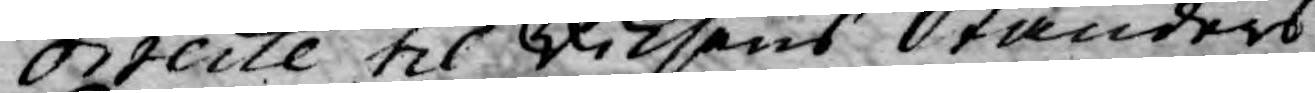directe til Riksens Ständers
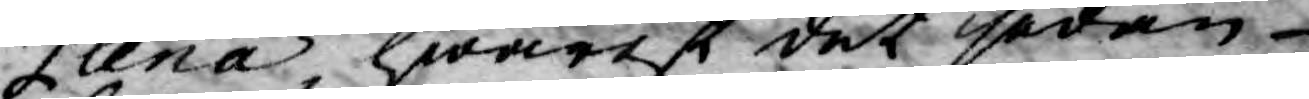Plena, hwarest det sedan
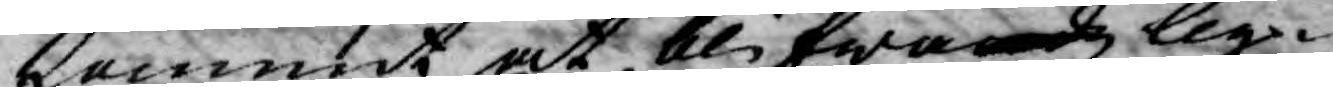kommit at blifwa och lig¬
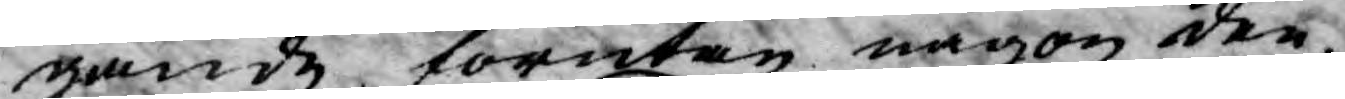gande förutan någon den
